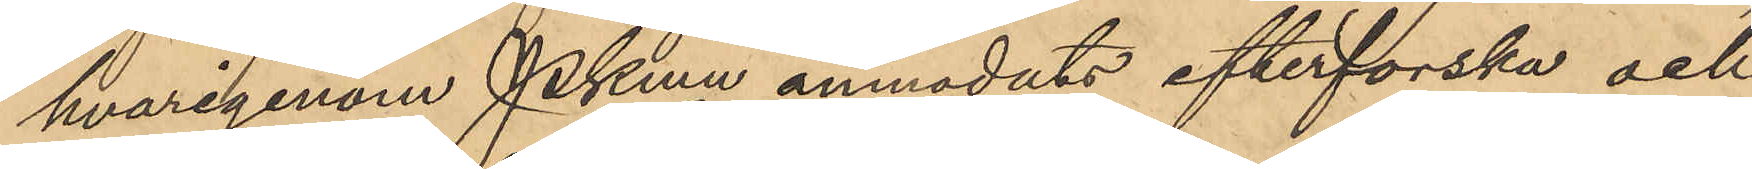hvarigenom Pkmn anmodats efterforska och
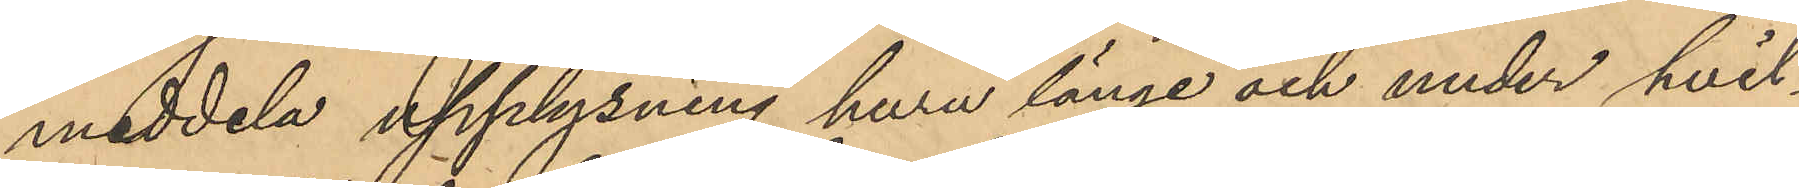meddela upplysning huru länge och under hvil¬
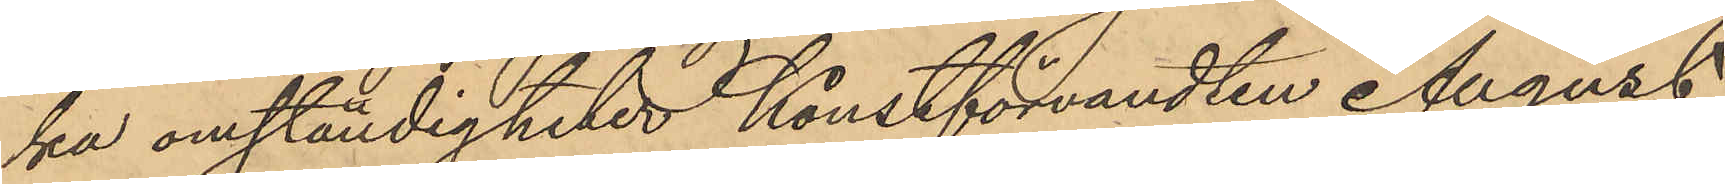ka omständigheter Konstförvandten August
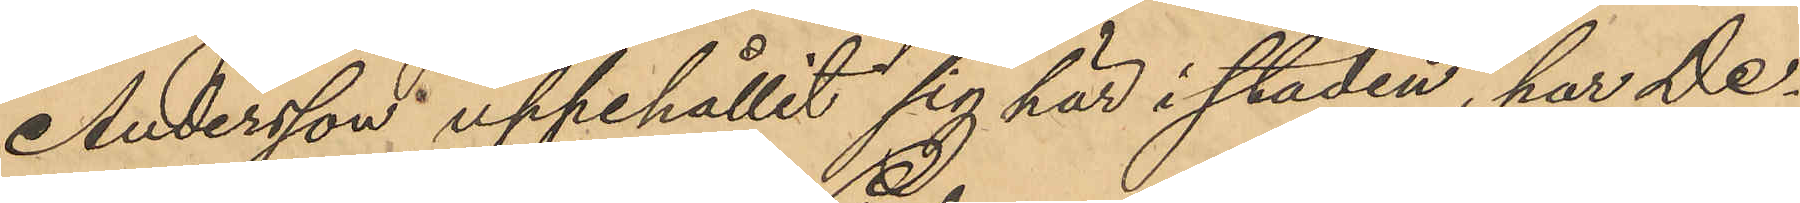Andersson uppehållit sig här i staden, har De¬
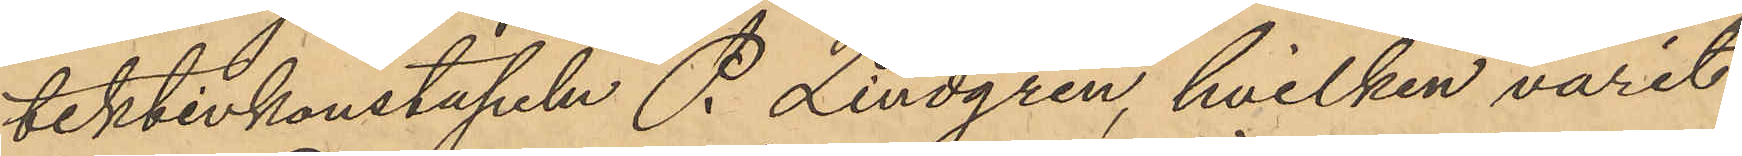tektivkonstapeln P. Lindgren, hvilken varit
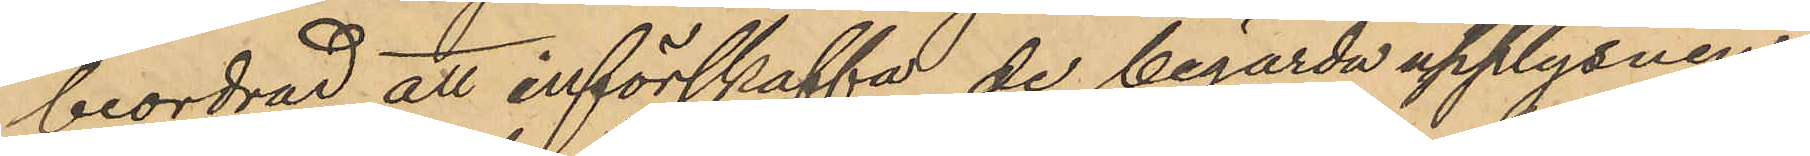beordrad att införskaffa de begärda upplysnin¬
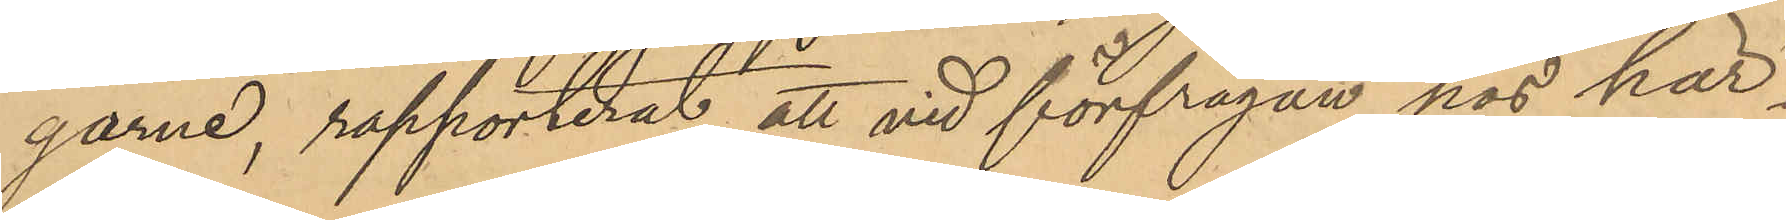garne, rapporterat att vid förfrågan hos här¬
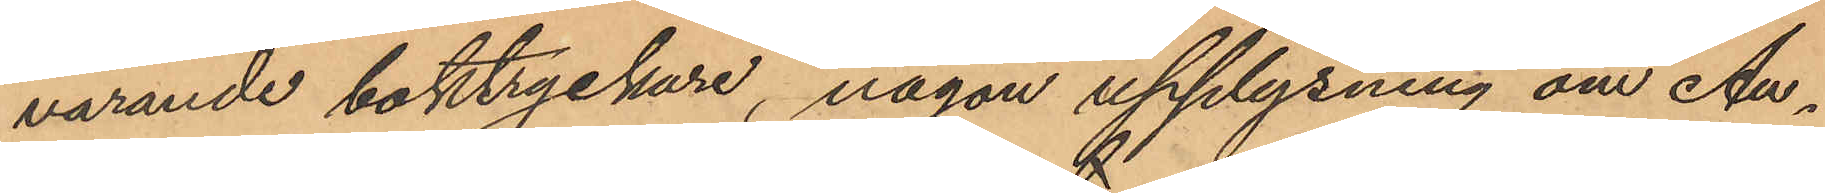varande boktryckare, någon upplysning om Au¬
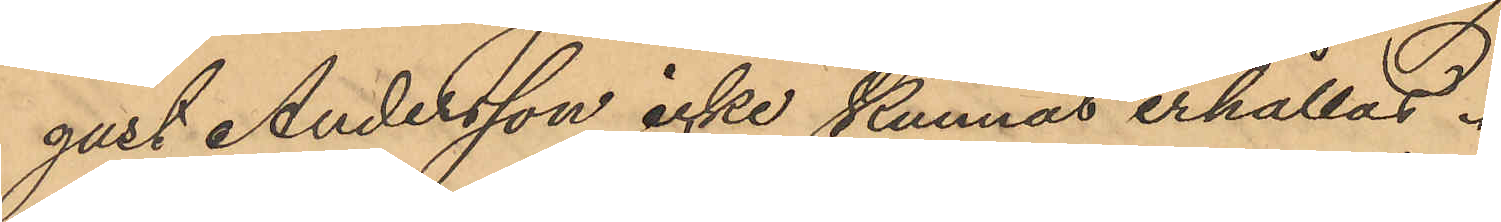gust Andersson icke kunnas erhållas.
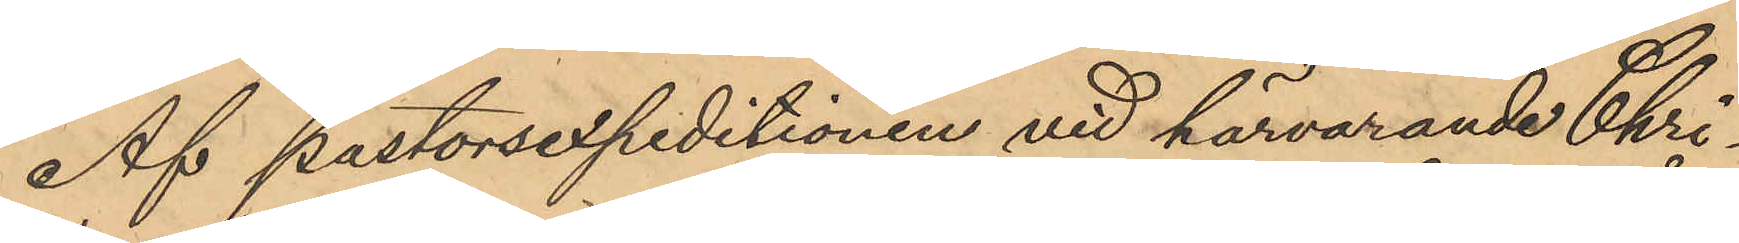Af pastorsexpeditionen vid härvarande Chri¬
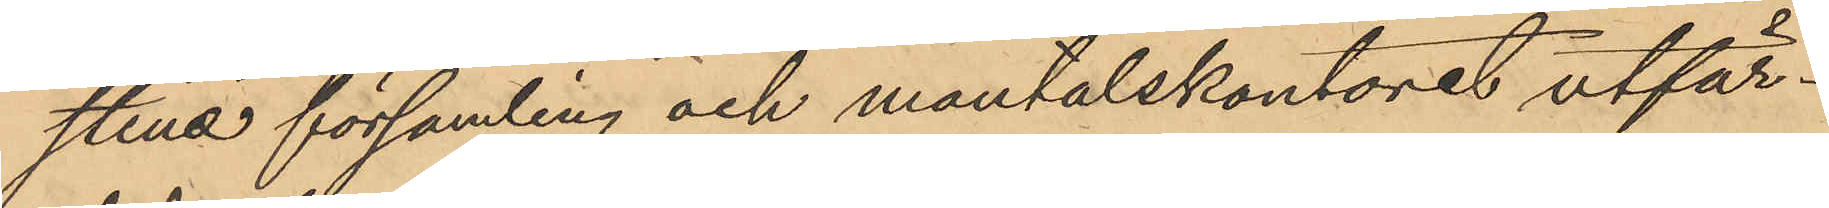stina församling och mantalskontoret utfär¬
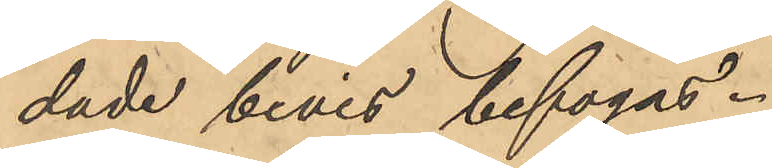dade bevis bifogas.
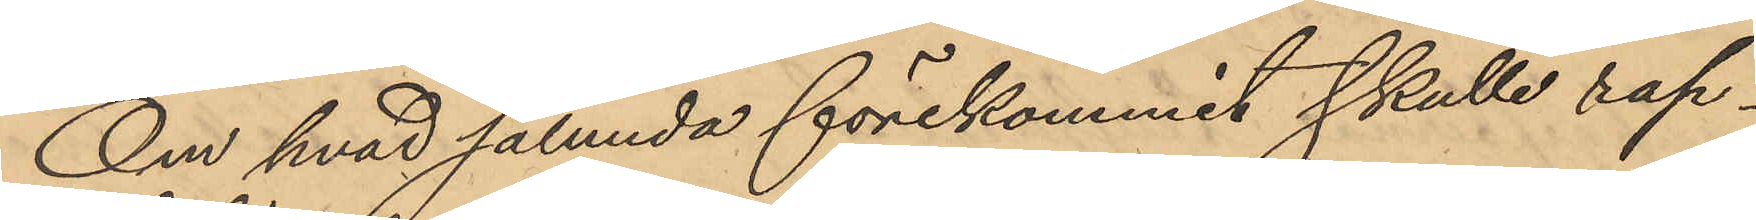Om hvad sålunda förekommit skulle rap¬
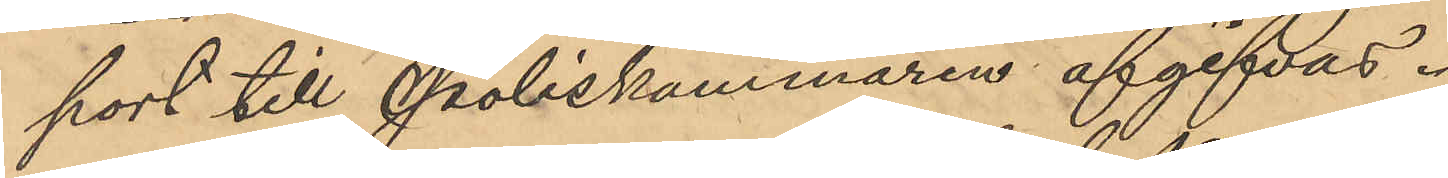port till Poliskammaren afgifvas.
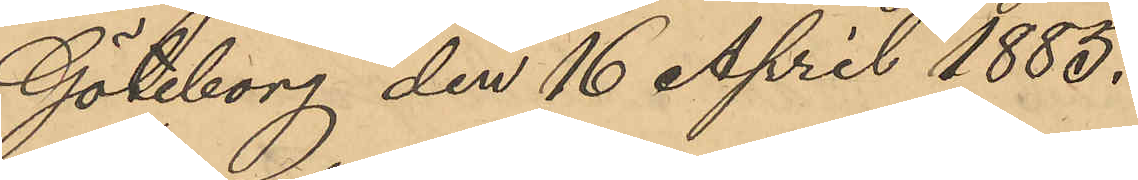Göteborg den 16 April 1885.
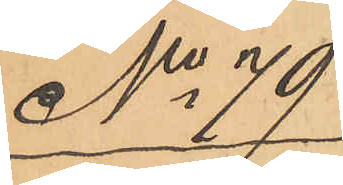No 79
